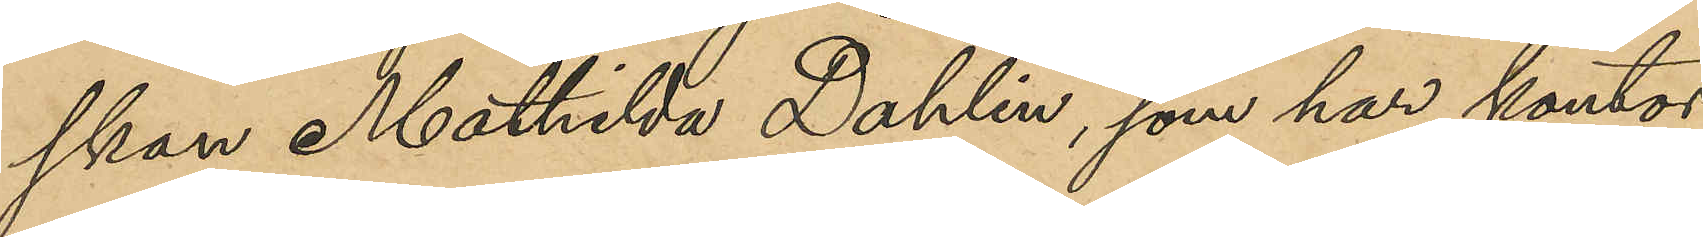skan Mathilda Dahlin, som har kontor
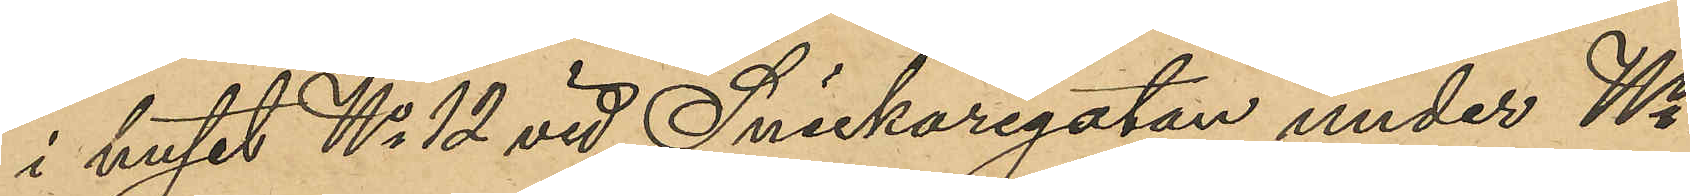i huset No 12 vid Snickaregatan under No
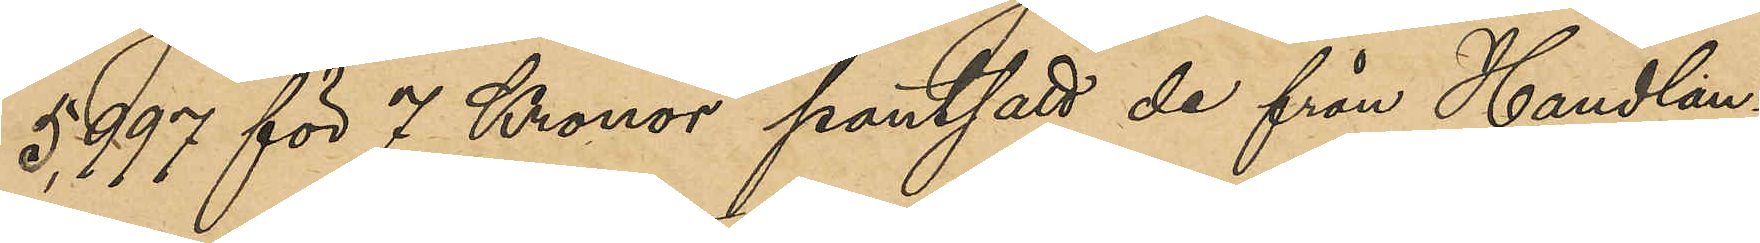5,997 för 7 Kronor pantsatt de från Handlan¬
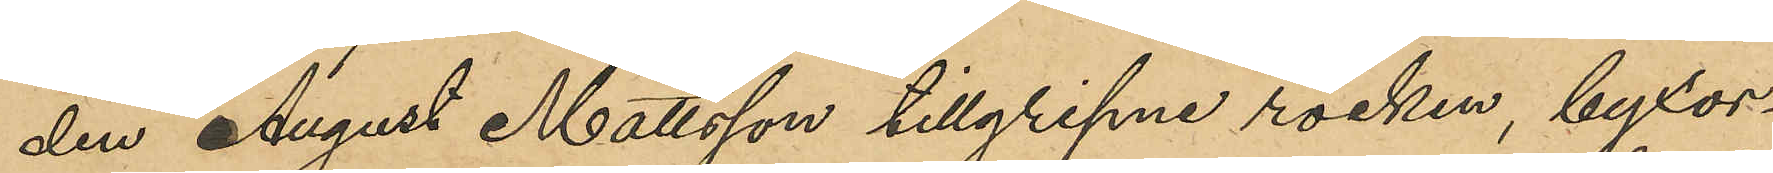den August Mattsson tillgripne rocken, byxor
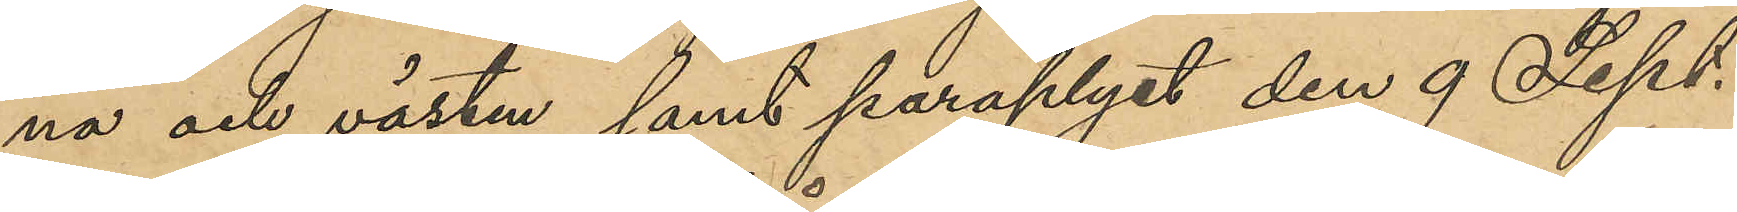na och västen samt paraplyet den 9 Sept.
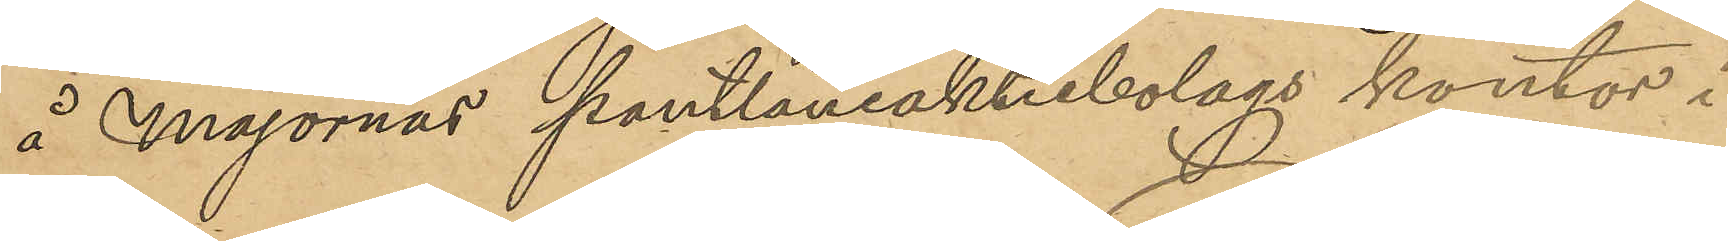å Majornas Pantlåneaktiebolags kontor i
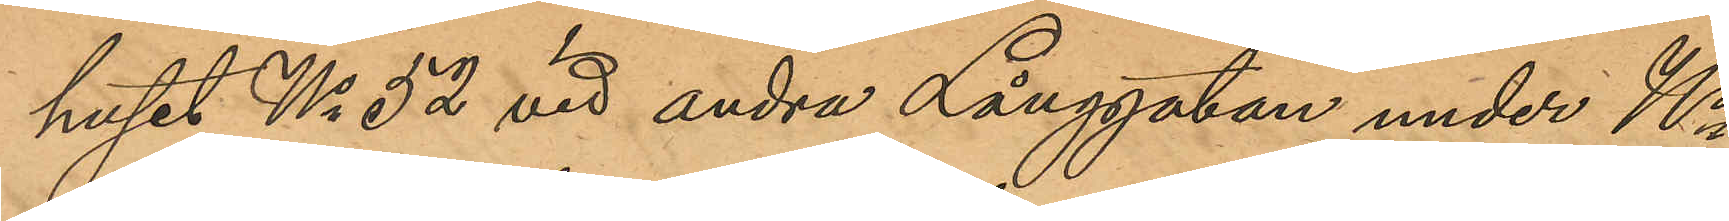huset No 52 vid andra Långgatan under No
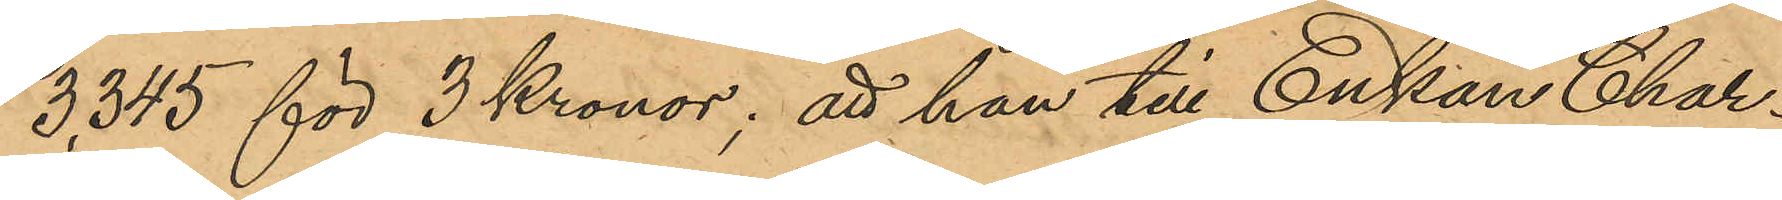3,345 för 3 Kronor; att han till Enkan Char¬
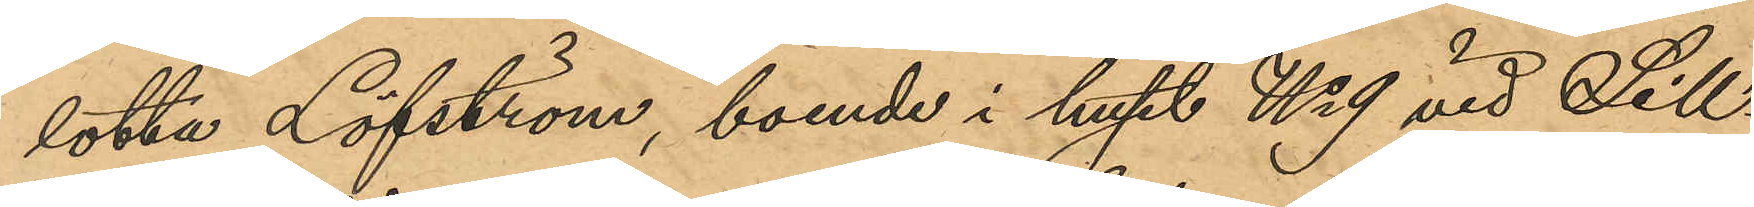lotta Löfström, boende i huset No 9 vid Sill¬
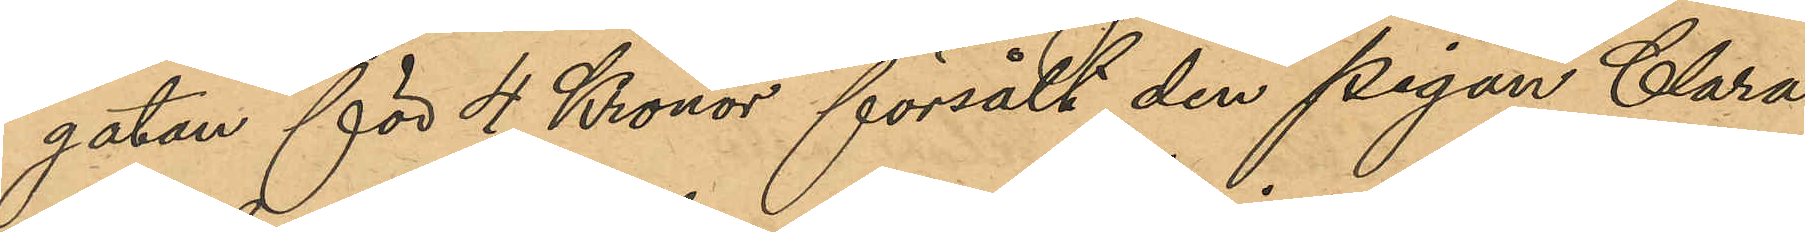gatan för 4 Kronor försålt den pigan Clara
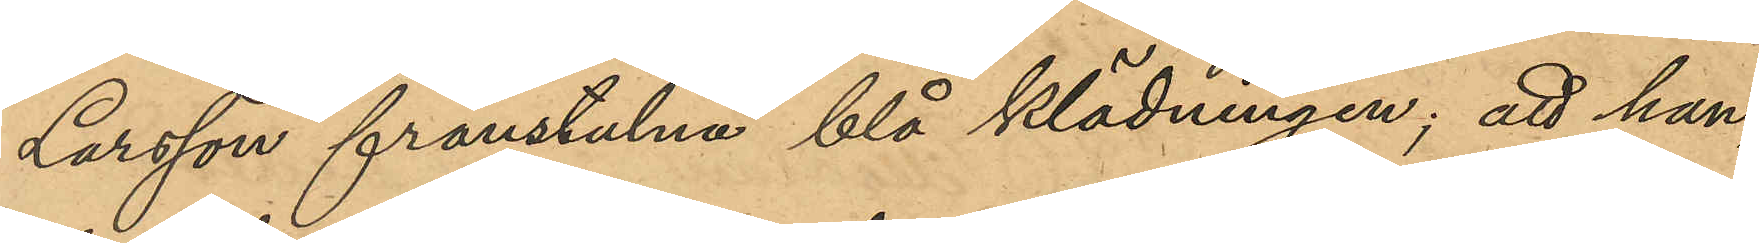Larsson frånstulna blå klädningen; att han,
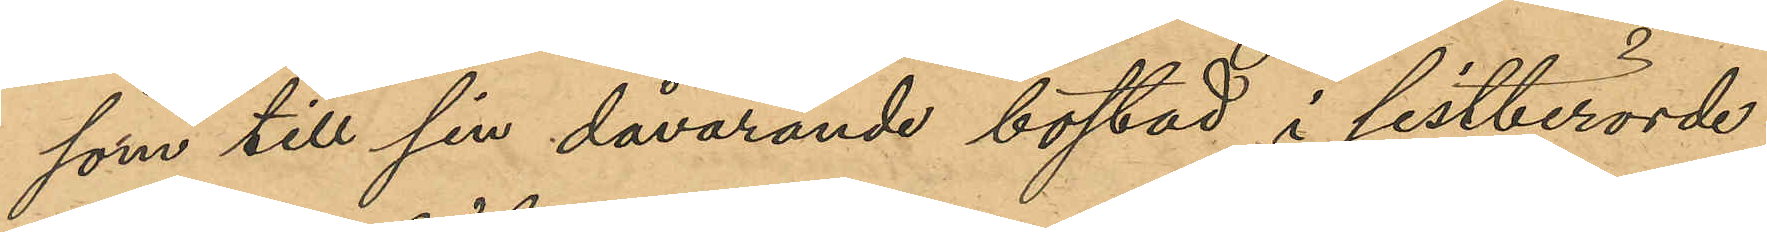som till sin dåvarande bostad i sistberörde
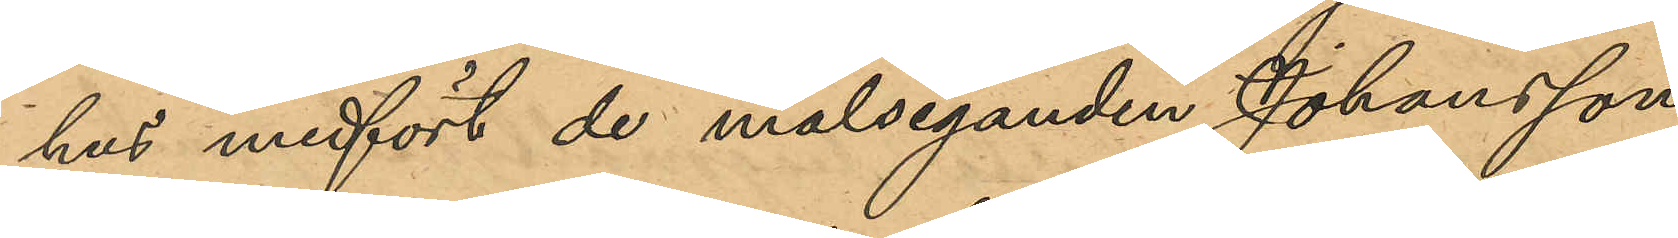hus medfört de måleganden Johansson
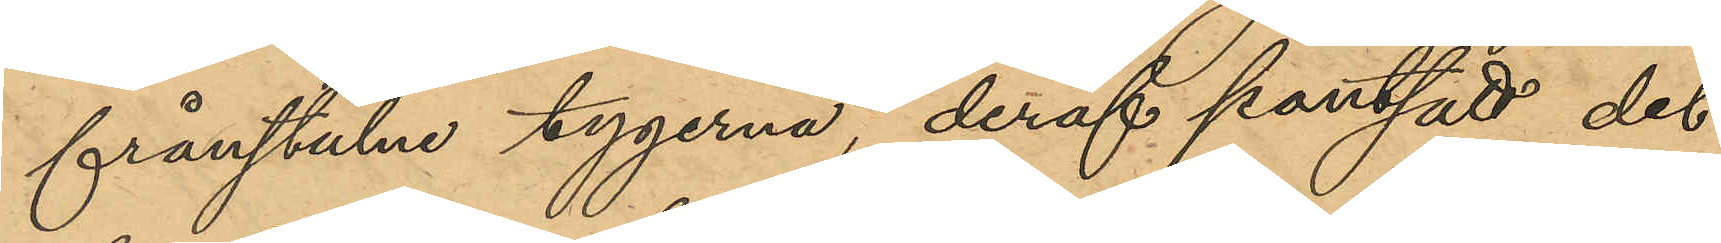frånstulna tygerna, deraf pantsatt det,
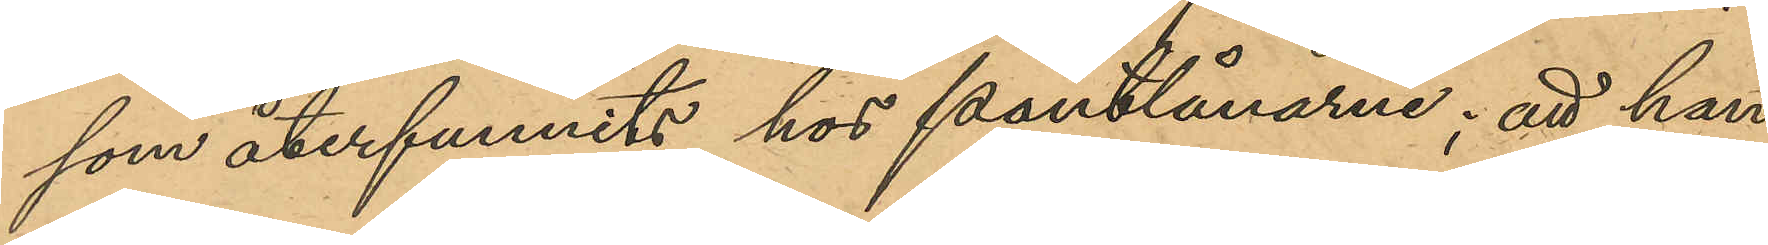som återfunnits hos Pantlånarna; att han
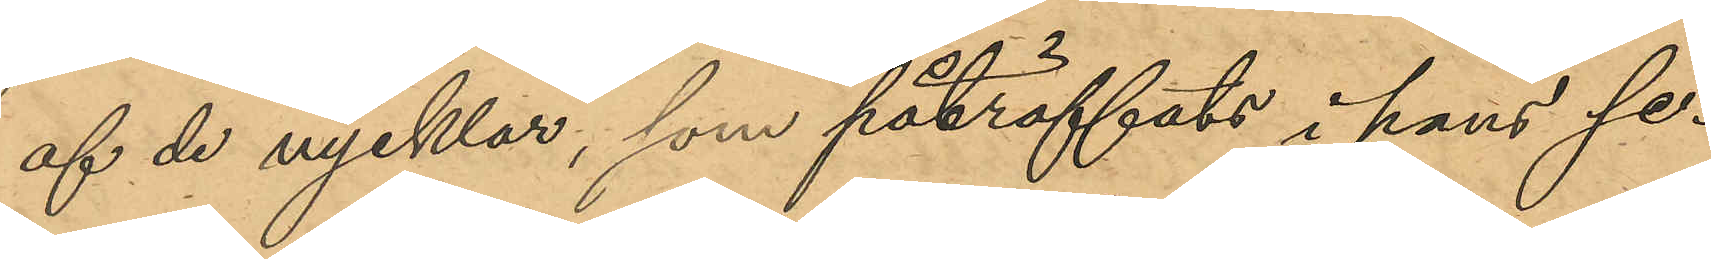af de nycklar, som påträffats i hans se¬
